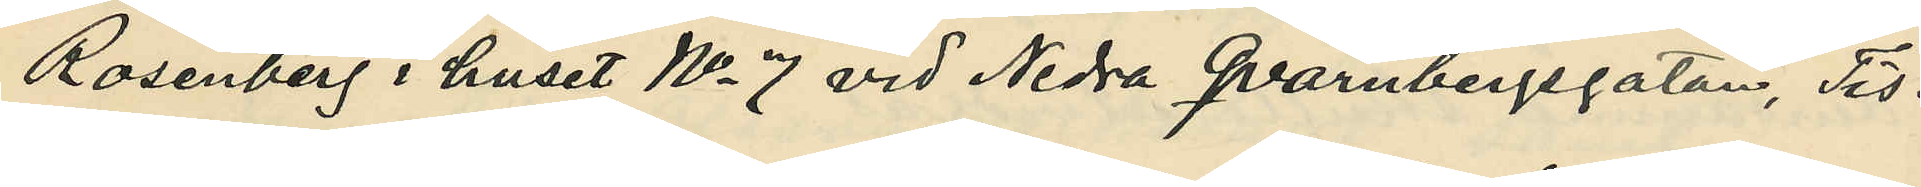Rosenberg i huset No 7 vid Nedra Qvarnbergsgatan, Tis¬
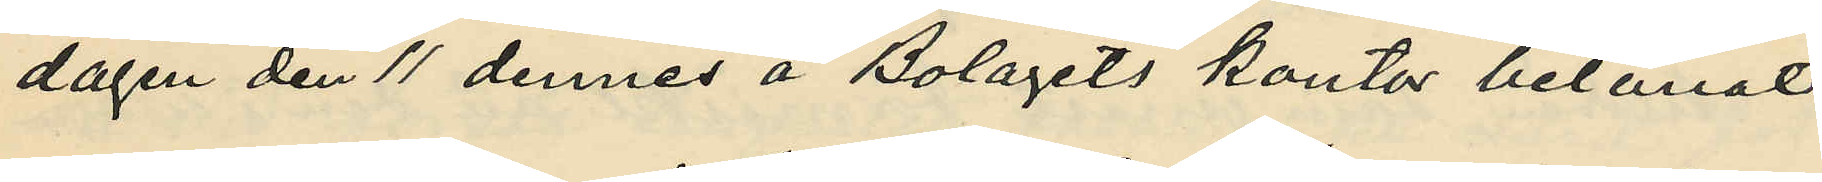dagen den 11 dennes å Bolagets kontor belånat
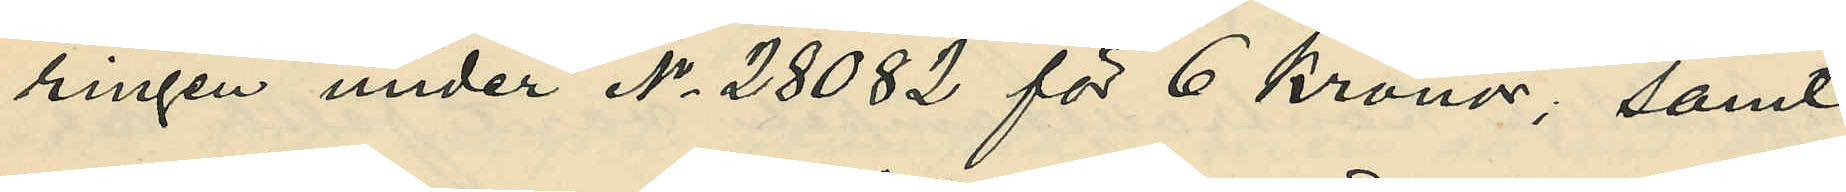ringen under No 28082 för 6 kronor; samt
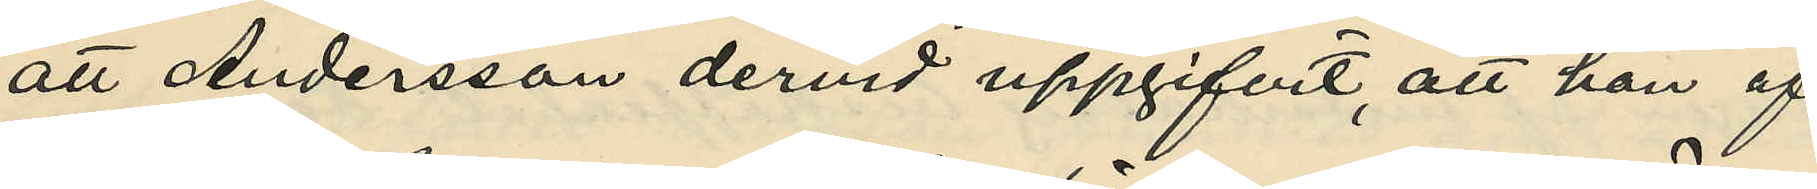att Andersson dervid uppgifvit, att han af
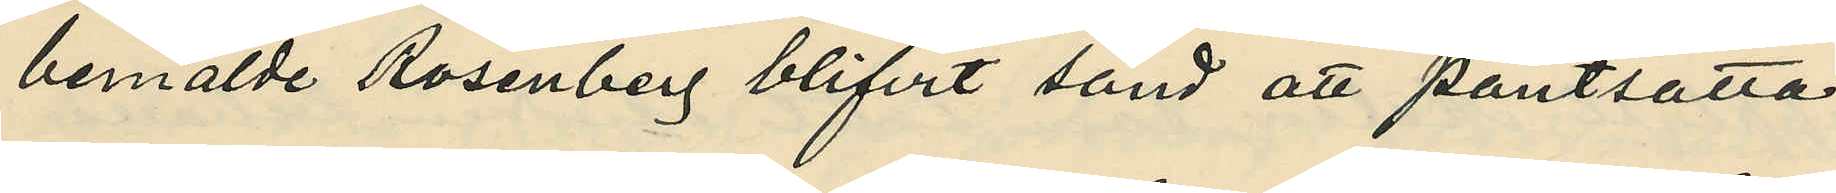bemälde Rosenberg blifvit sänd att pantsätta
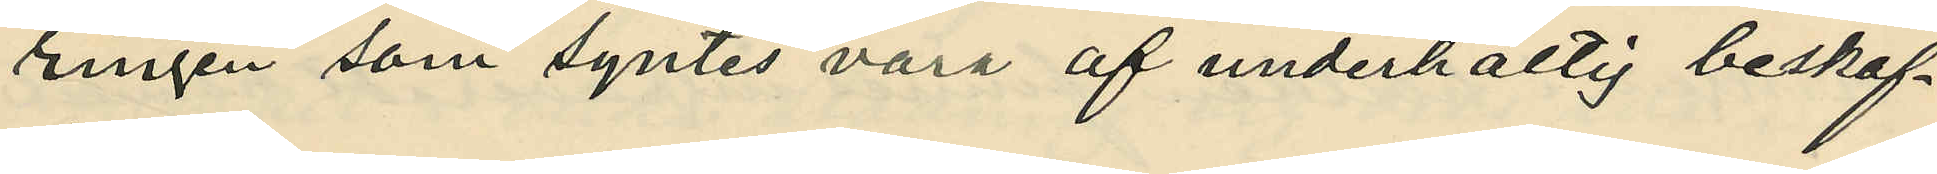ringen som syntes vara af underhaltig beskaf¬
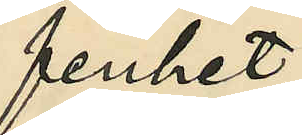fenhet.
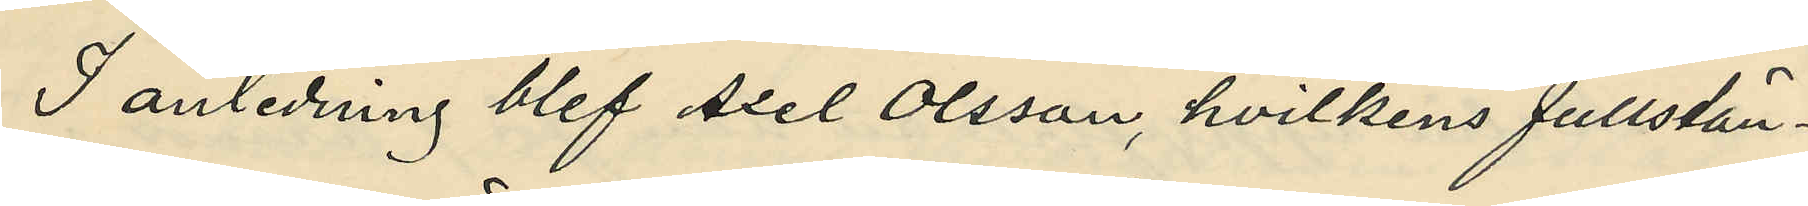I anledning blef Axel Olsson, hvilkens fullstän¬
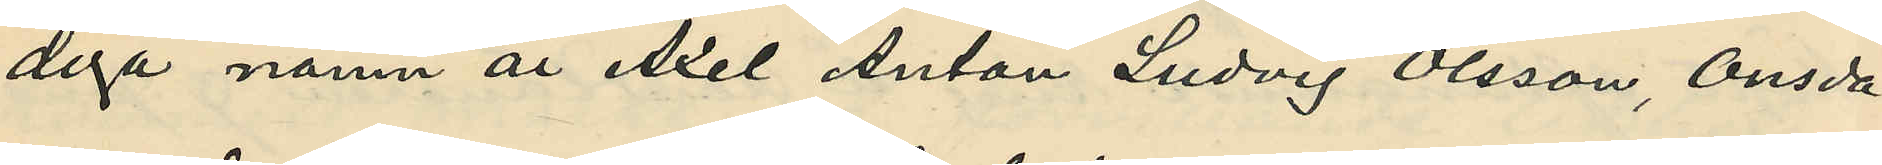diga namn är Axel Anton Ludvig Olsson, Onsda¬
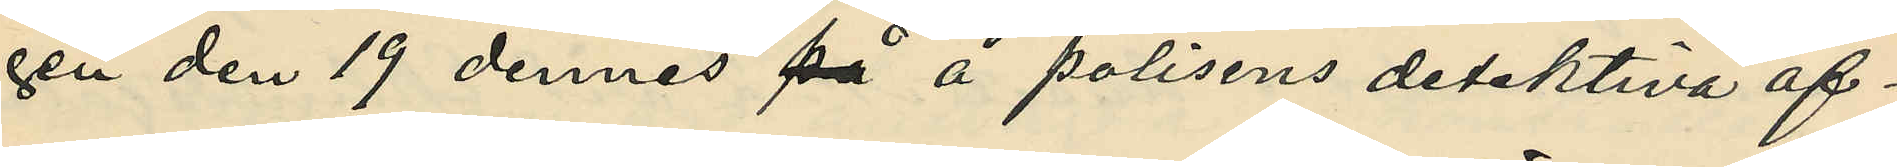gen den 19 dennes på å polisens detektiva af¬
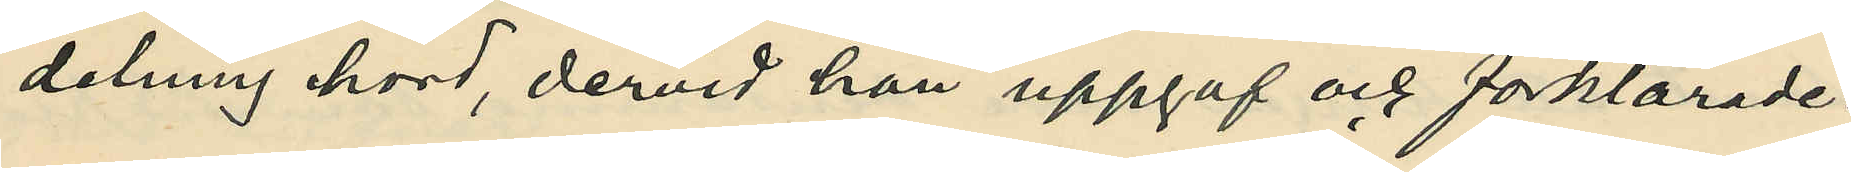delning hörd, dervid han uppgaf och förklarade:
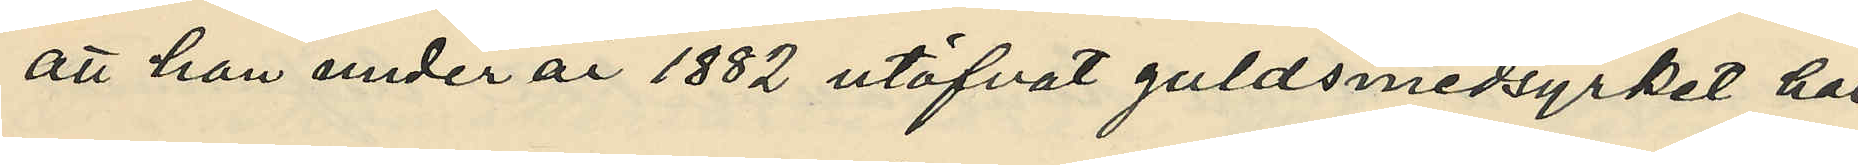att han under år 1882 utöfvat guldsmedsyrket här
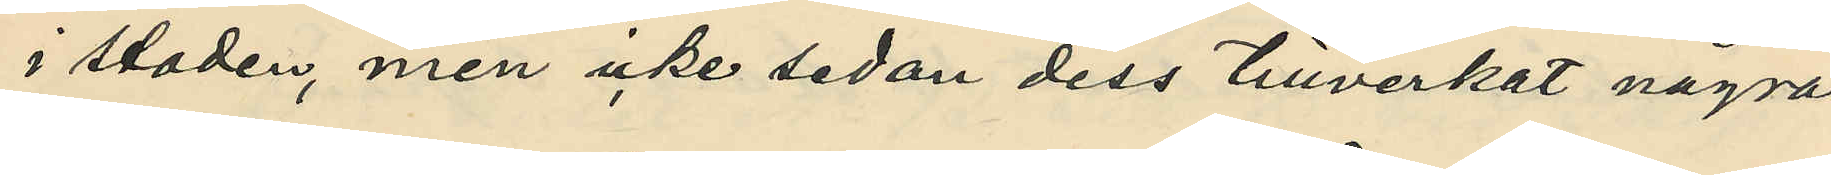i staden, men icke sedan dess tillverkat några
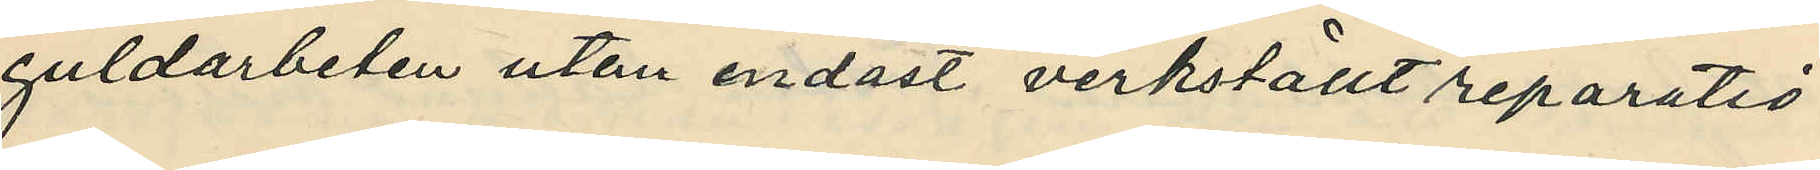guldarbeten utan endast verkställt reparatio¬
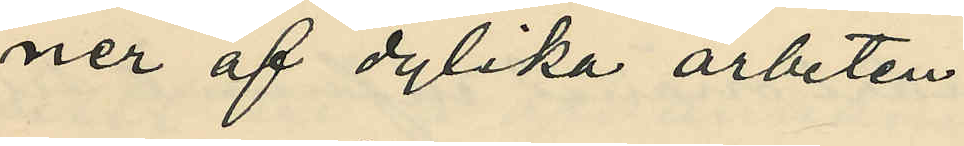ner af dylika arbeten,
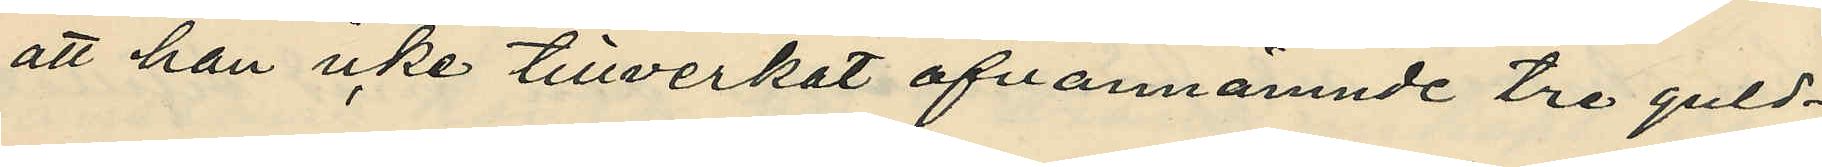att han icke tillverkat ofvannämnde tre guld¬
